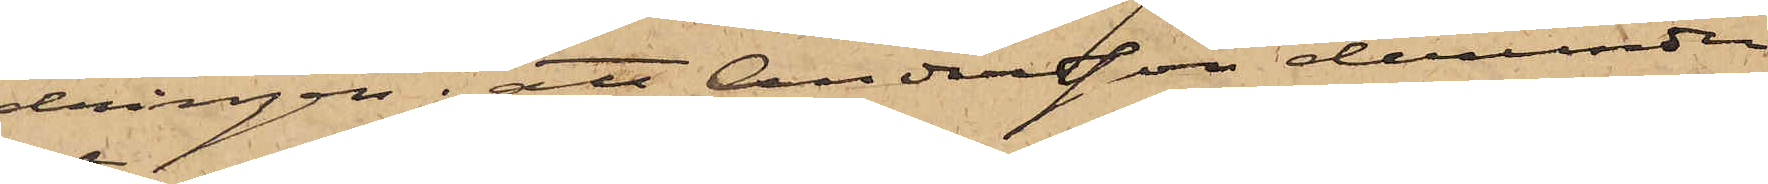dringen; att Andersson derunder
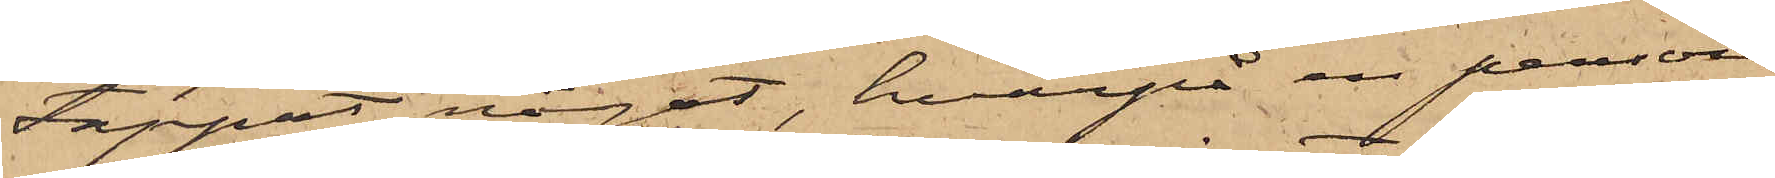tappat något, hvarpå en person
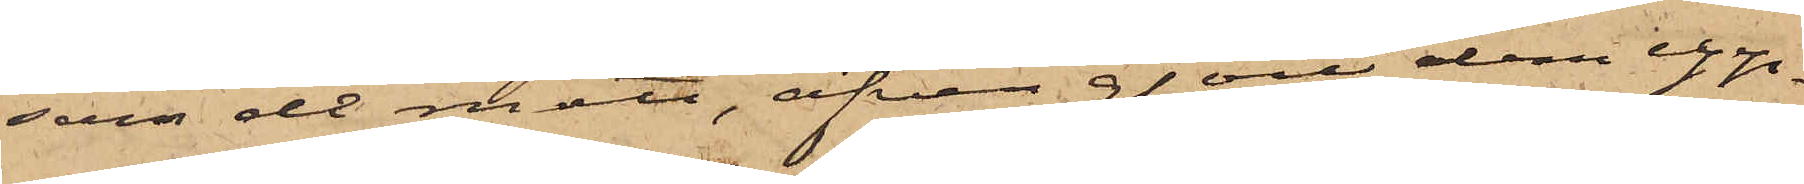som de mött, äfven gjort dem upp¬
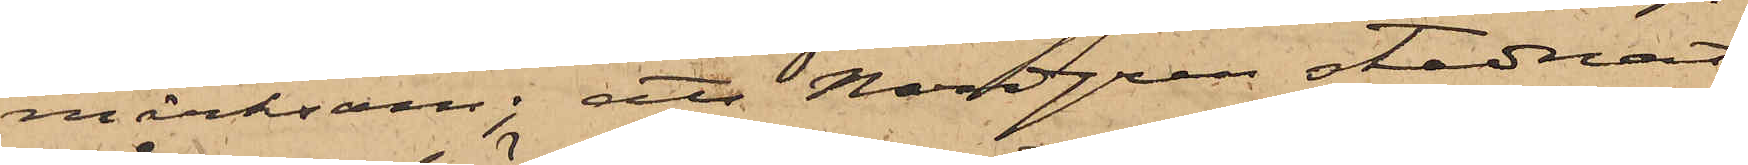märksam; att Nordgren stadnat
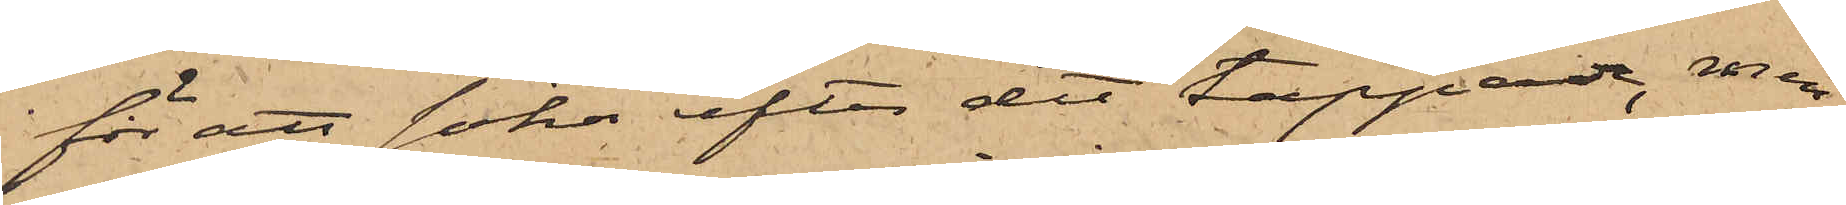för att söka efter det tappade, men
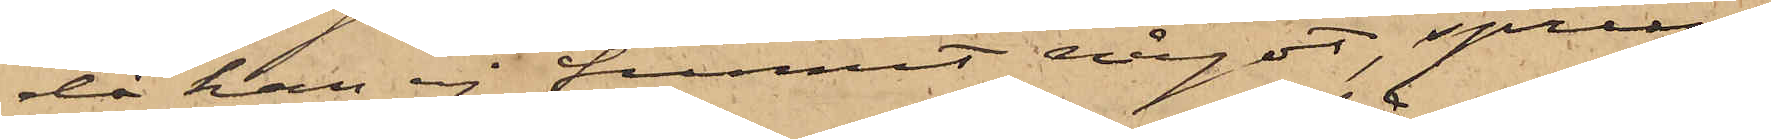då han ej funnit något, sprun¬
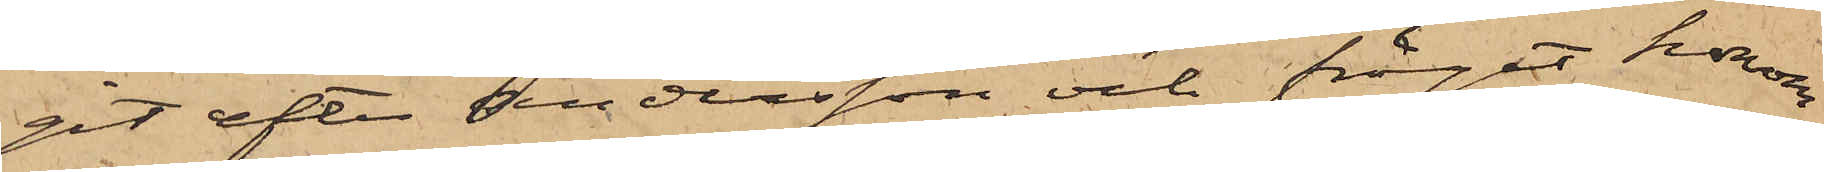git efter Andersson och frågat honom
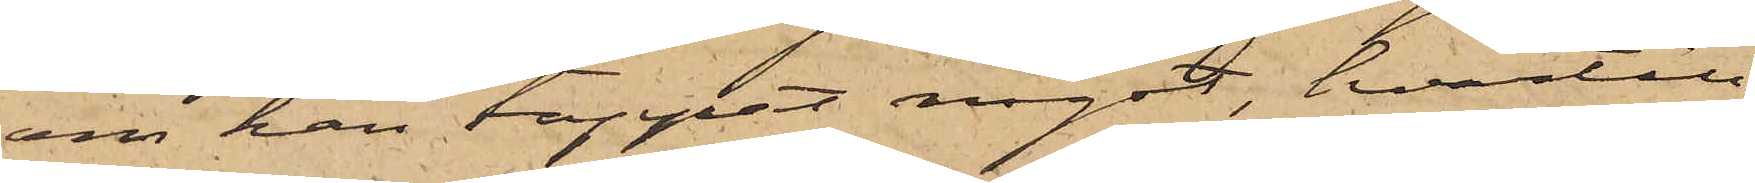om han tappat något, hvartill
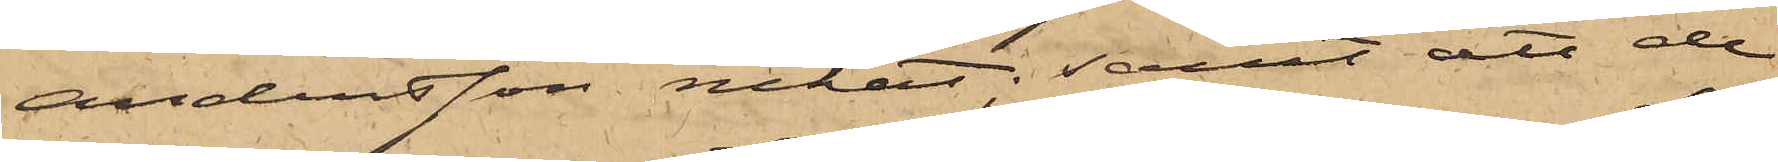Andersson nekat; samt att de
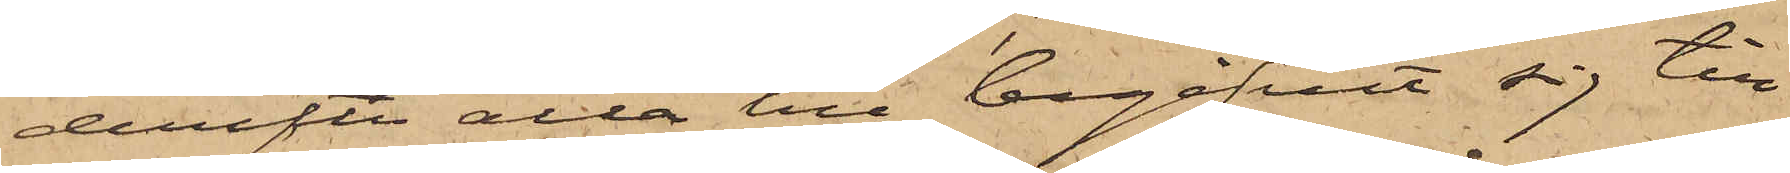derefter alla till begifvit sig till
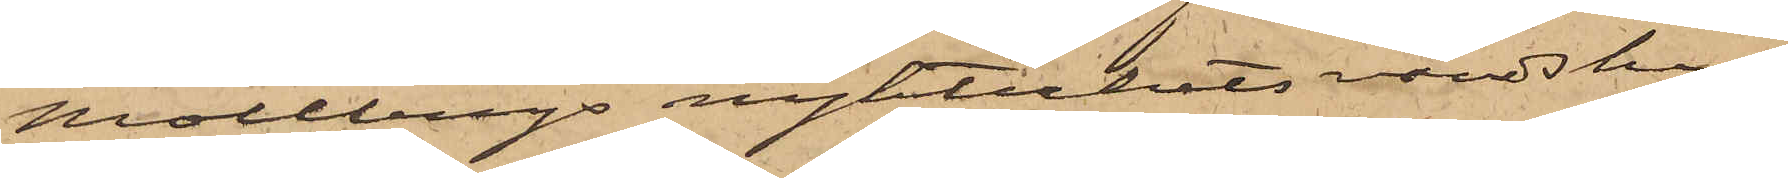Mollbergs nykterhetsvärdshus,
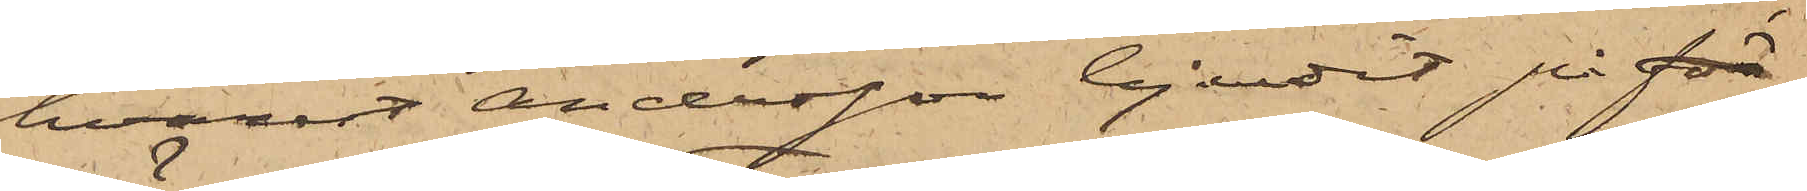hvarest Andersson bjudit på för¬
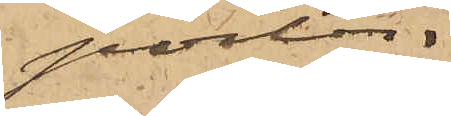porter.
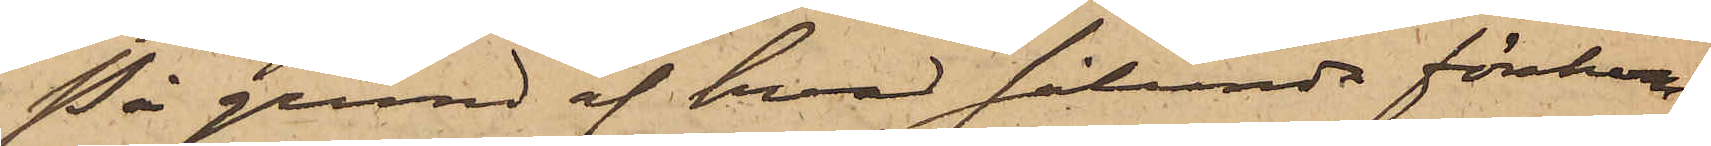På grund af hvad sålunda förekom¬
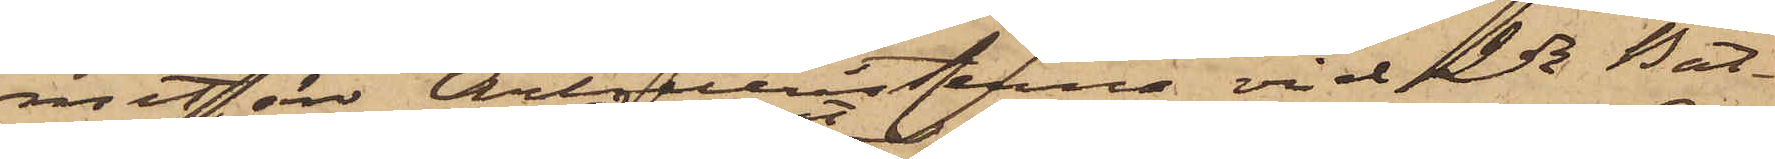mit, är Artilleristerna vid 2dra Bat¬
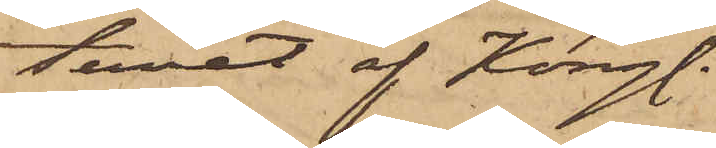teriet af Kongl.
